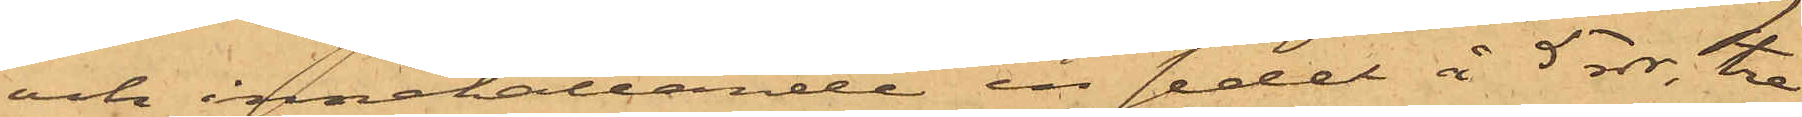och innehållande en sedel å 5 rdr, tre
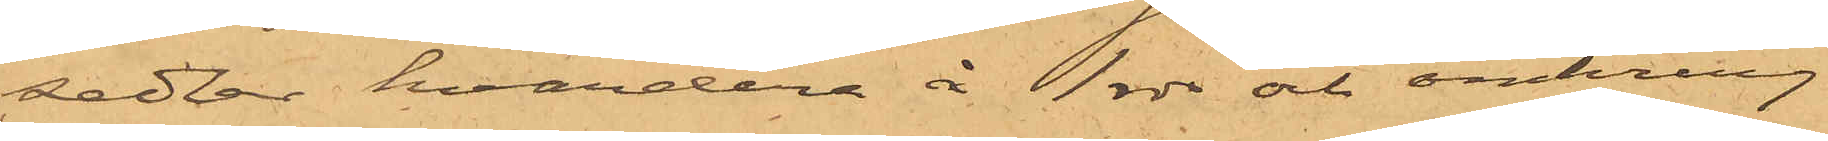sedlar, hvardera å 1 rdr och omkring
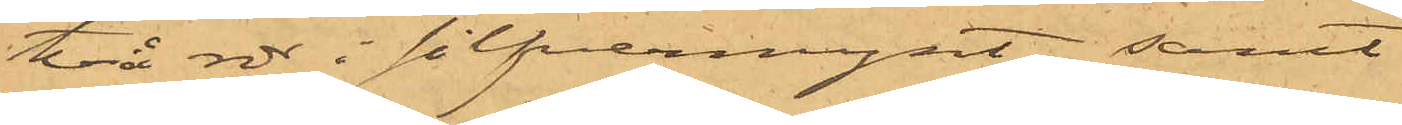två rdr i silfvermynt; samt
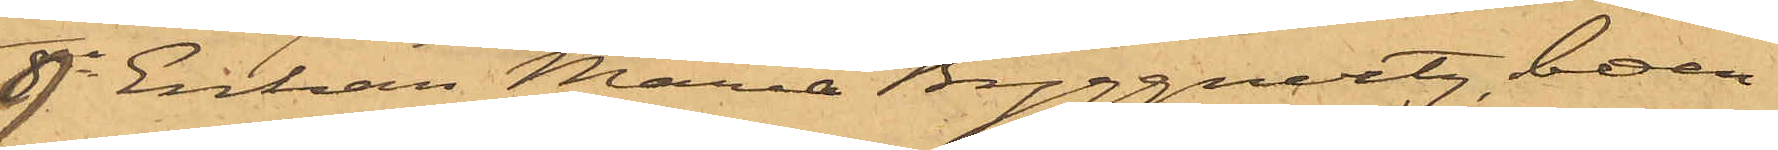9o Enkan Maria Byggnertz, boen¬
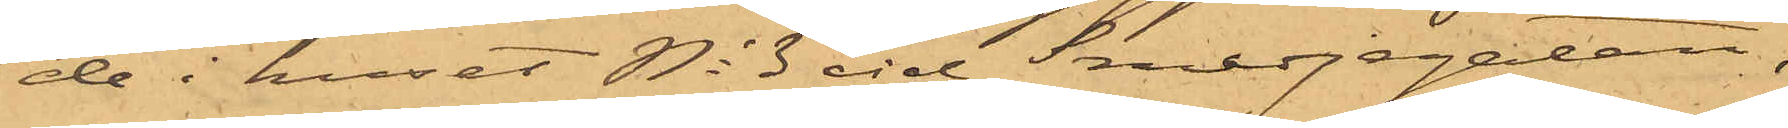de i huset No 3 vid Smedjegatan,
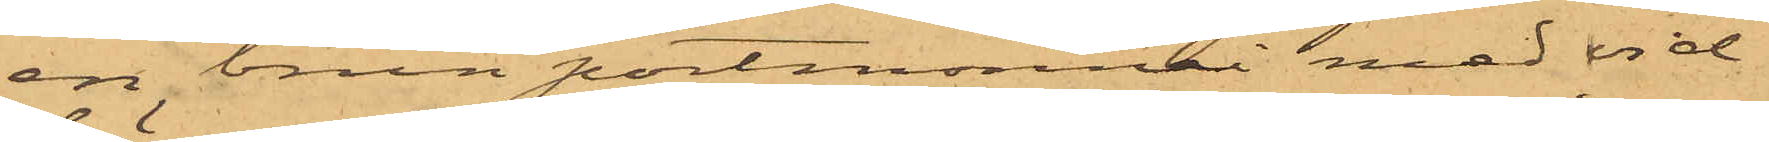en brun portmonnai med vid¬
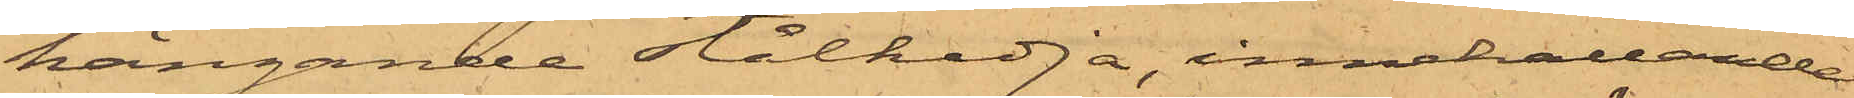hängande stålkedja, innehållande
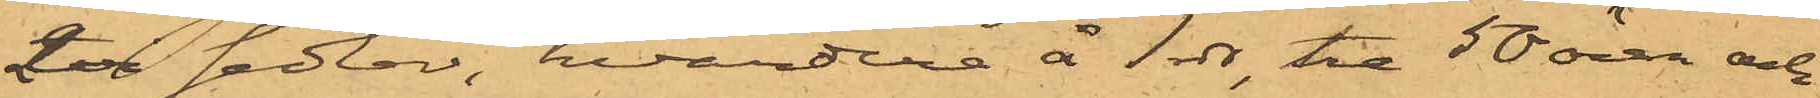2ne sedlar, hvardera å 1 rdr, tre 50 ören och
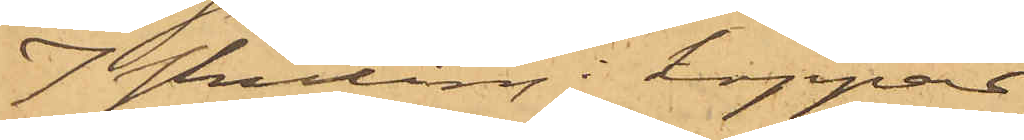7 skilling i koppar,
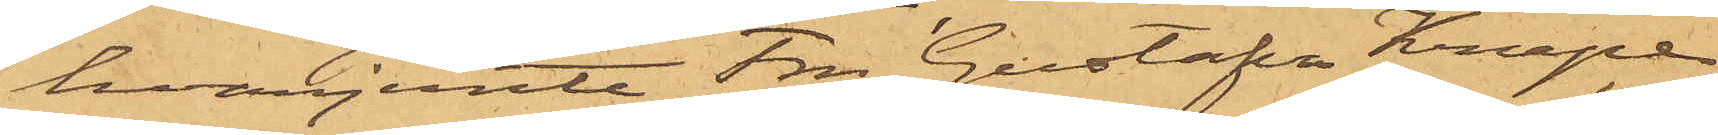hvarjemte Fru Gustafva Knape
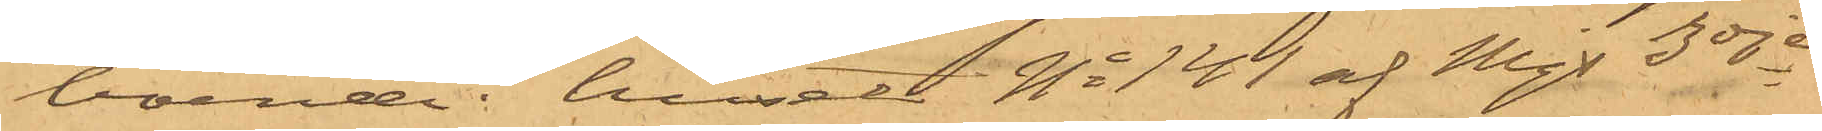boende i huset No 141 af Mjs 3dje
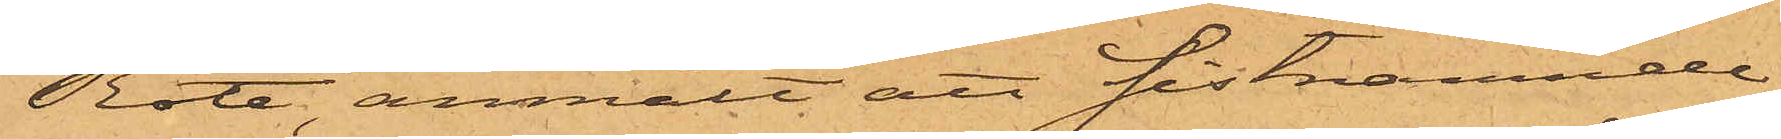Rote, anmält, att sistnämnde
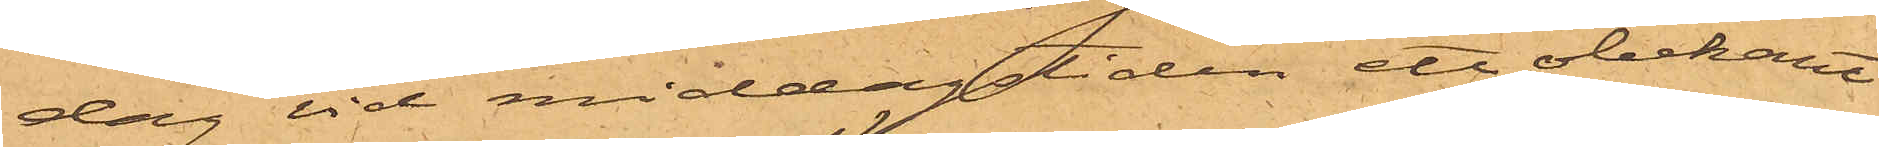dag vid middagstiden ett obekant
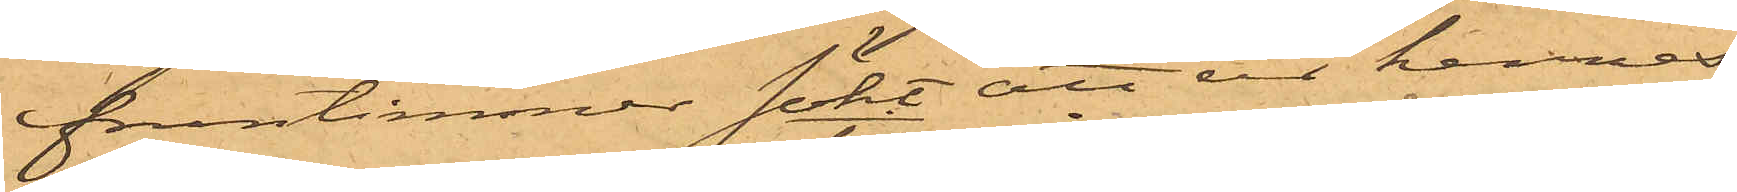fruntimmer sökt att ur hennes
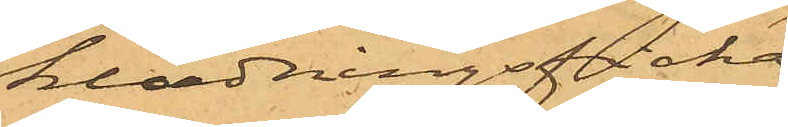klädningsficka
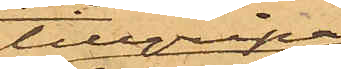tillgripa
